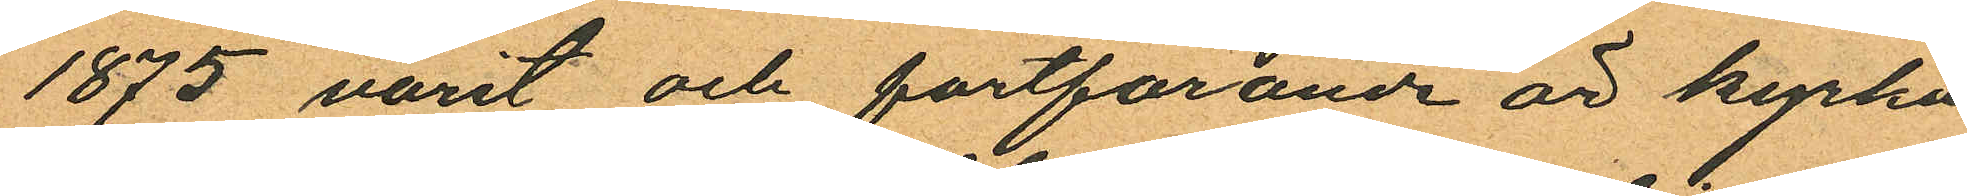1875 varit och fortfarande är kyrko¬
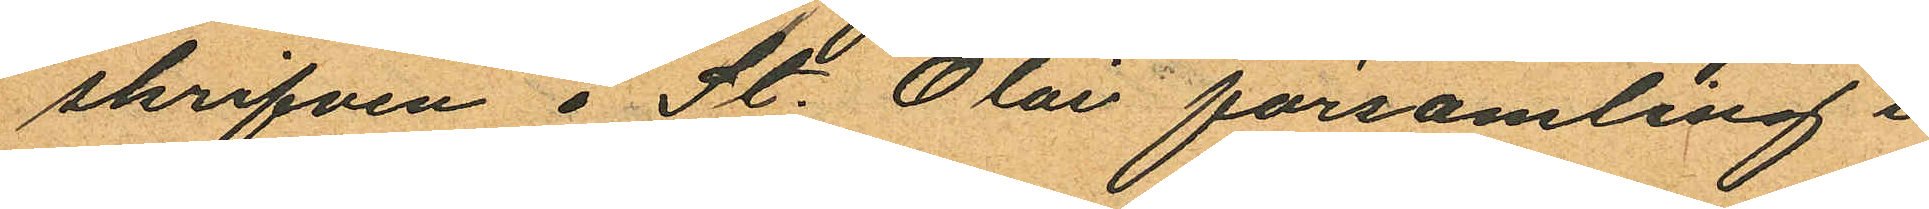skrifven i St. Olai församling i
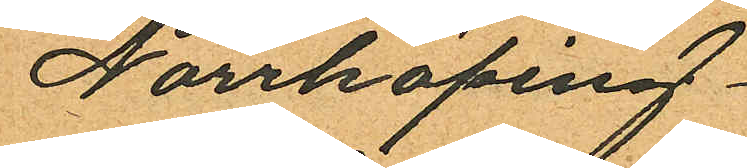Norrköping.
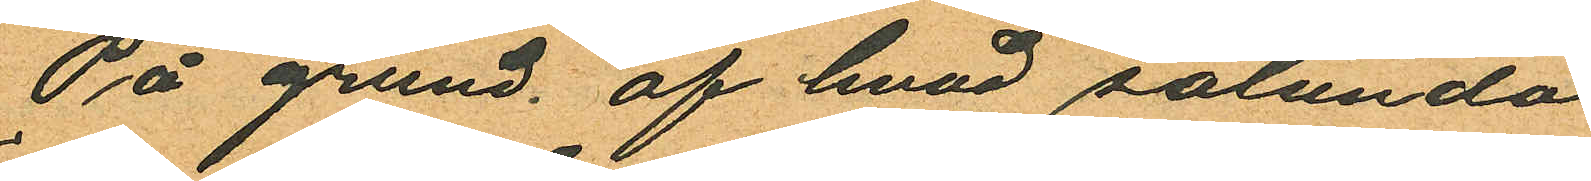På grund af hvad sålunda
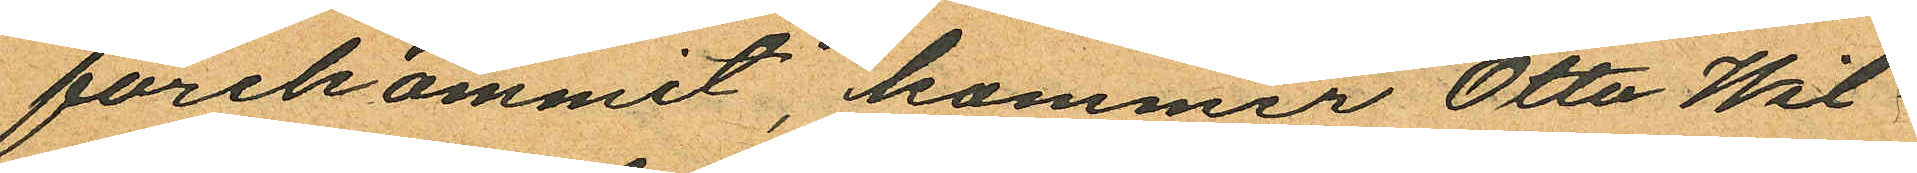förekommit, kommer Otto Wil¬
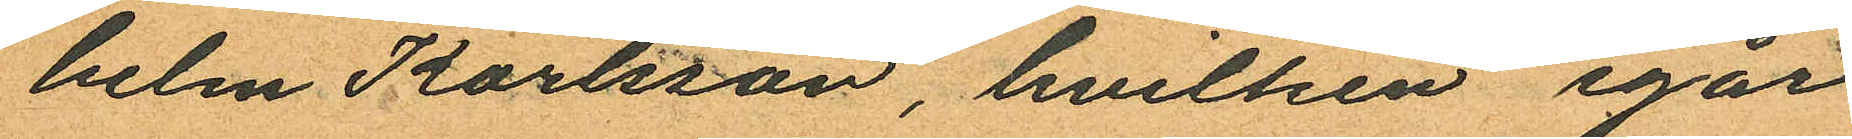helm Karlsson, hvilken igår
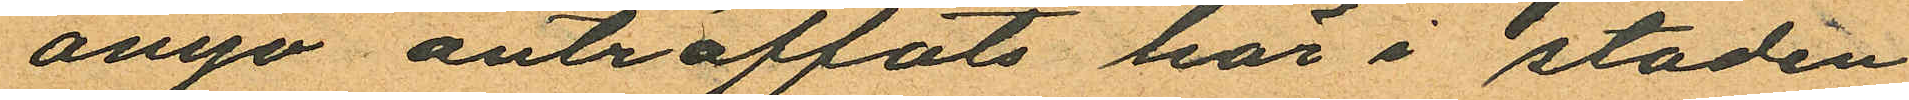ånyo anträffats här i staden
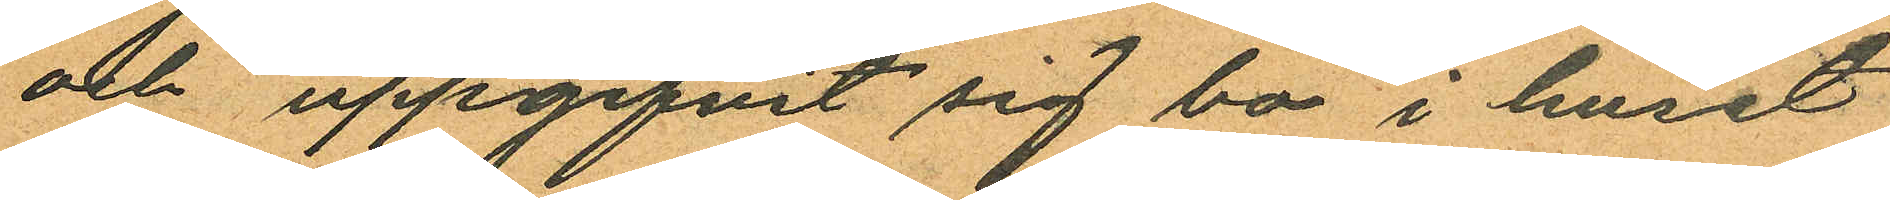och uppgifvit sig bo i huset
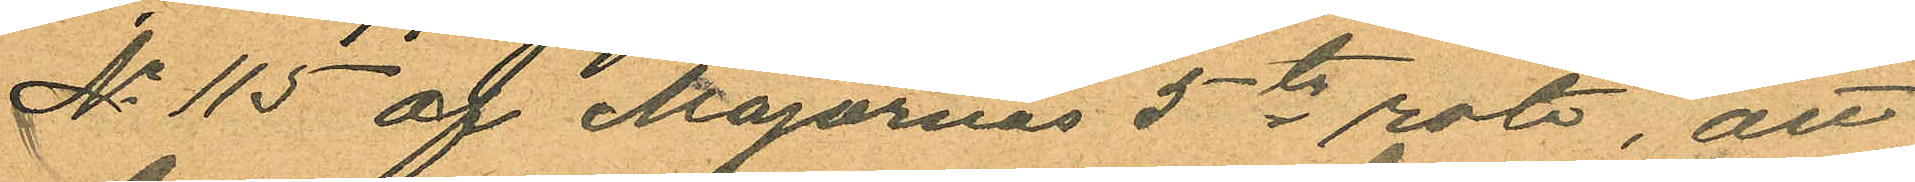No 115 af Majornas 5te rote, att
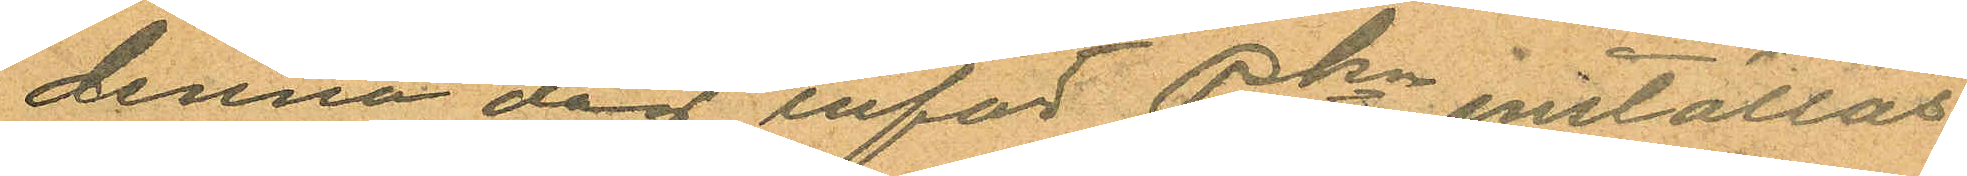denna dag inför Pkn inställas.
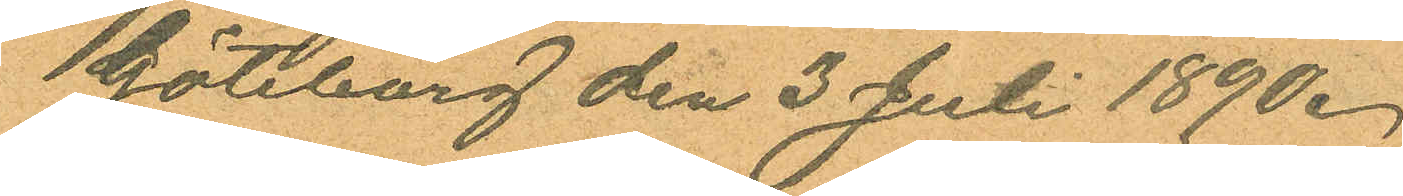Göteborg den 3 Juli 1890.
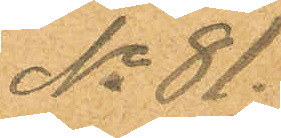No 81.
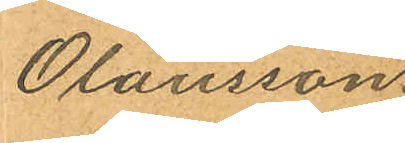Olausson.
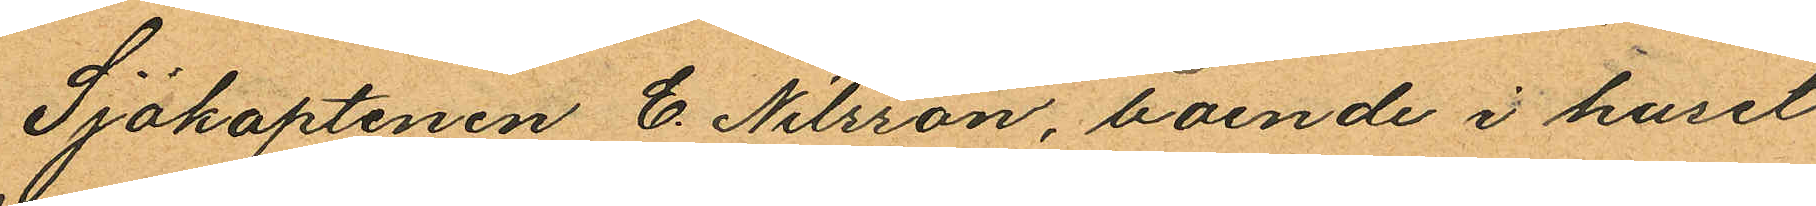Sjökaptenen C. Nilsson, boende i huset
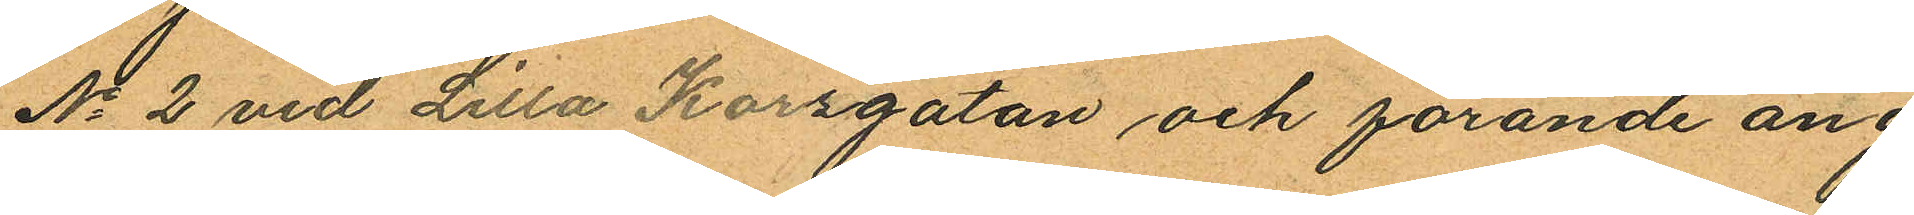No 2 vid Lilla Korsgatan och förande ång¬
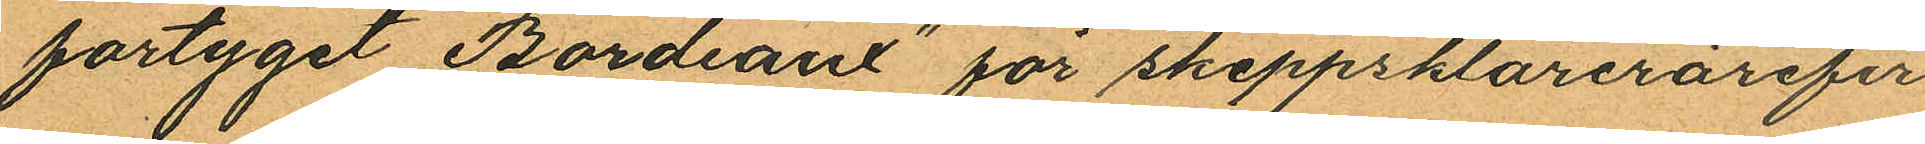fartyget "Bordeaux" för skeppsklarerarefir¬
